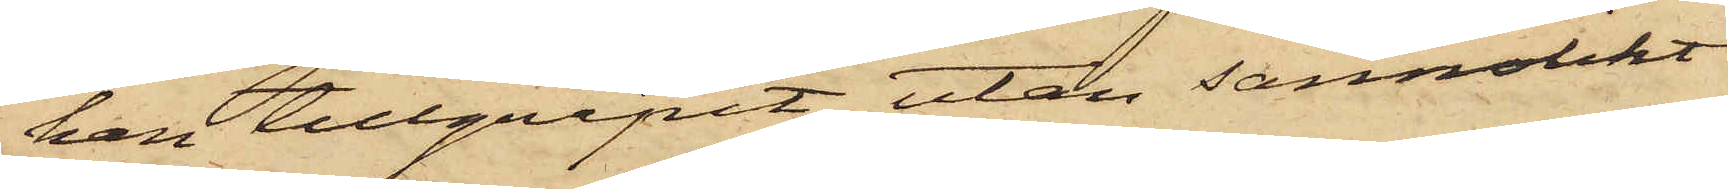han tillgripit, utan sannolikt
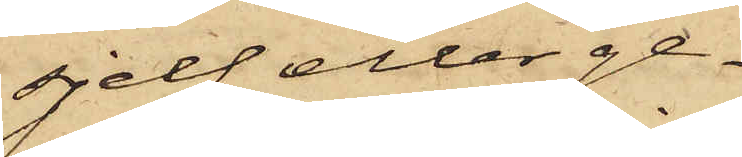sjelf eller ge¬
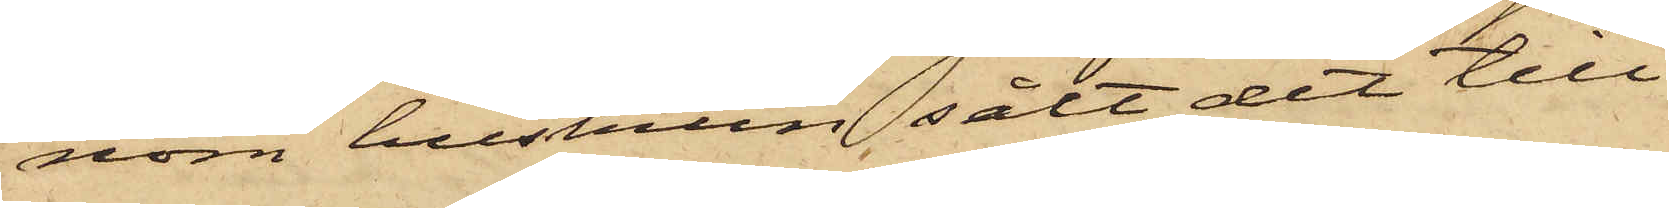nom hustrun sålt det till¬
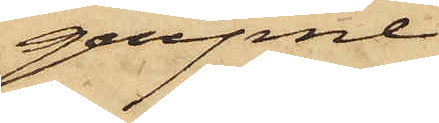gripne
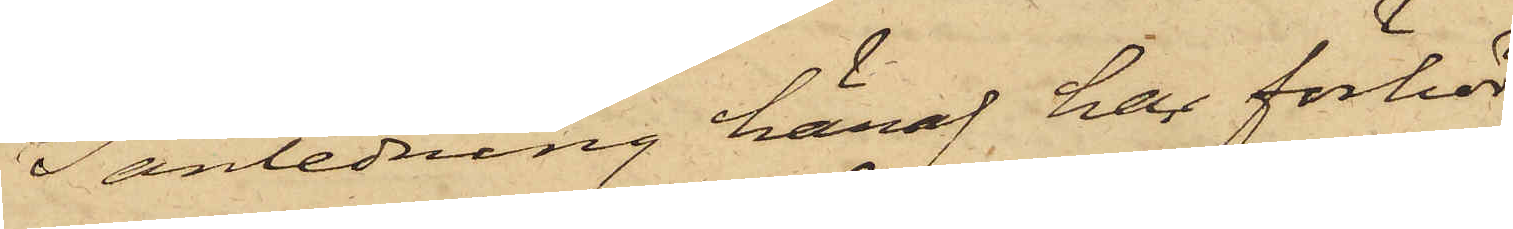I anledning häraf har förhör
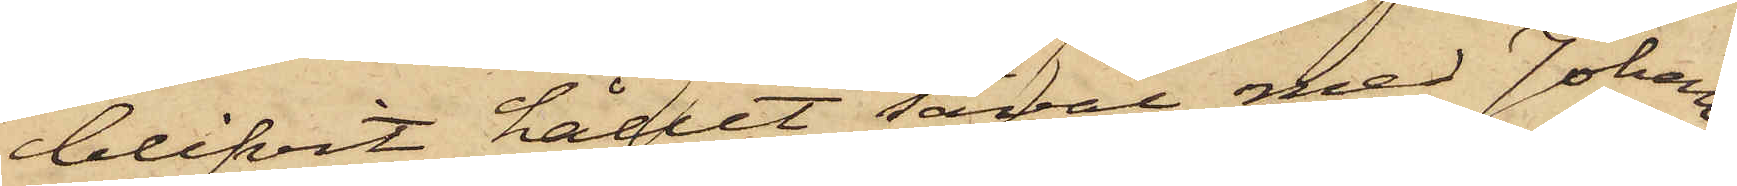blifvit hållet såväl med Johan¬
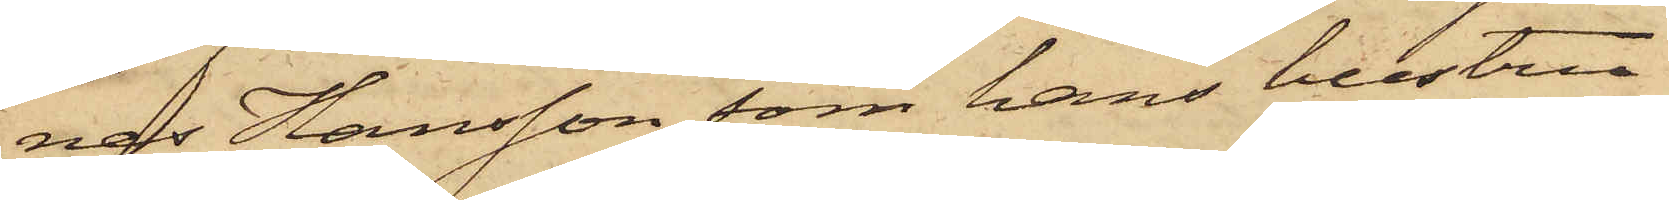nes Hansson, som hans hustru
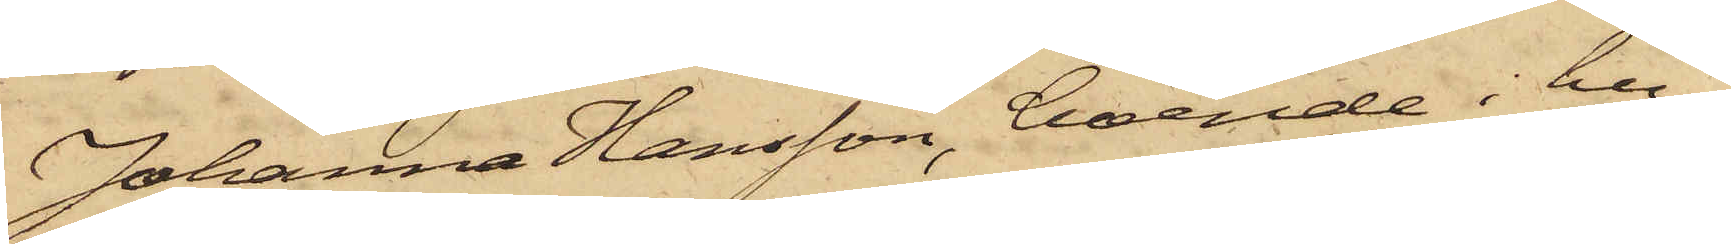Johanna Hansson, boende i hu¬
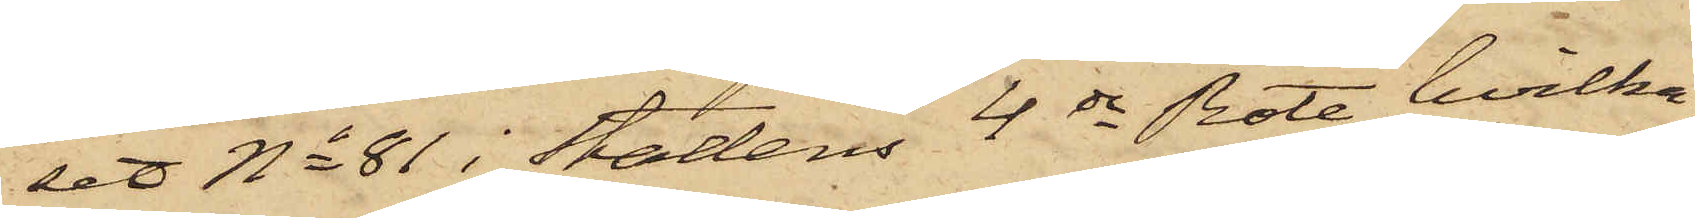set No 81 i Stadens 4de Rote, hvilka
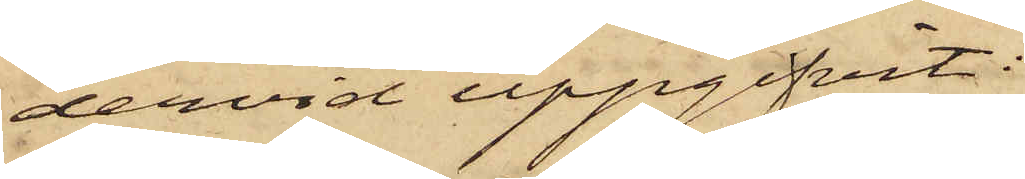dervid uppgifvit:
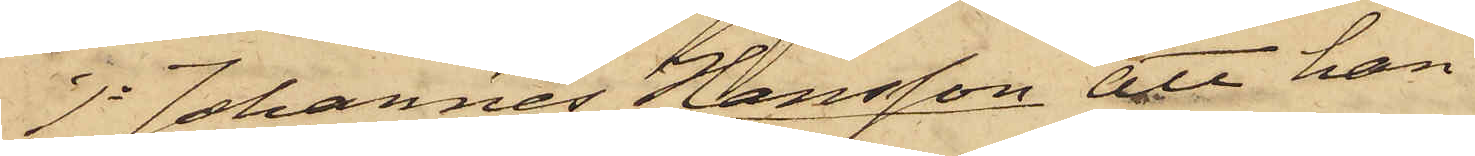1o Johannes Hansson, att han
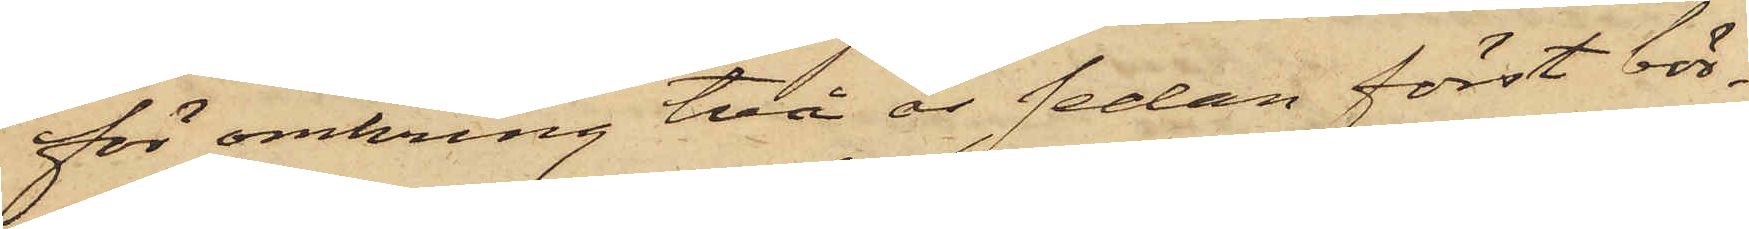för omkring två år sedan först bör¬
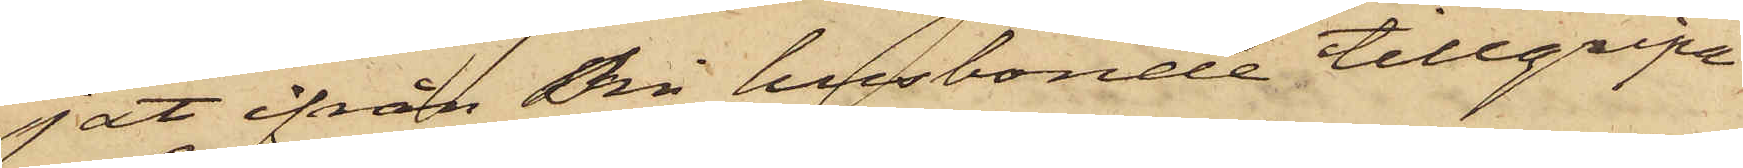jat ifrån Sin husbonde tillgripa
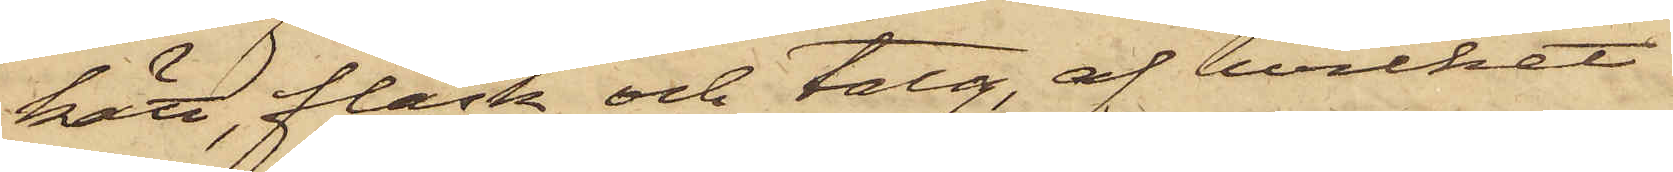kött, fläsk och talg, af hvilket
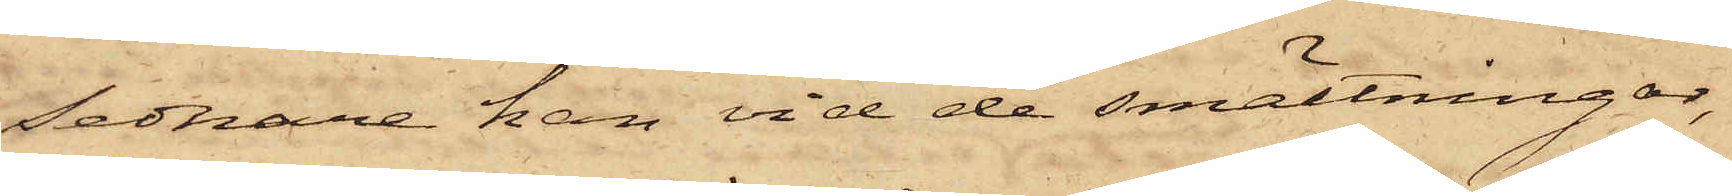sednare han vid de smältningar,
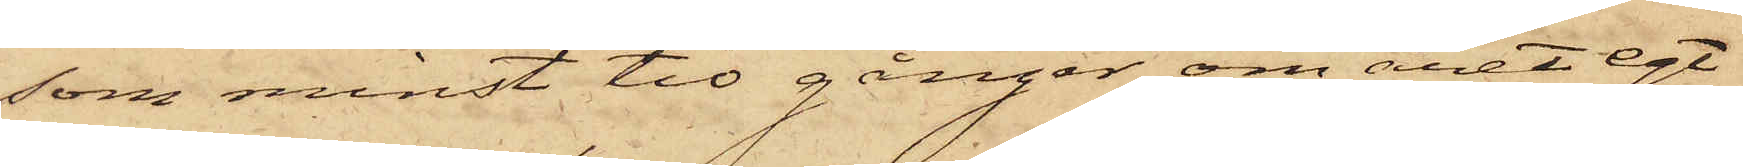som minst tio gånger om året egt
